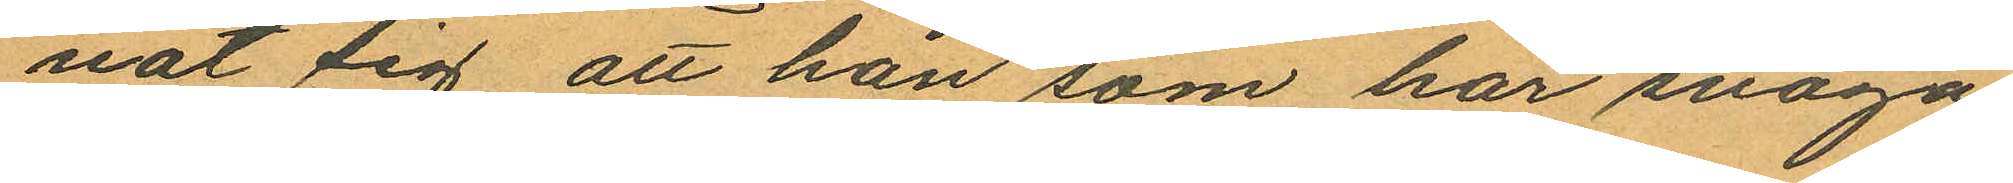nat sig, att han som har svaga
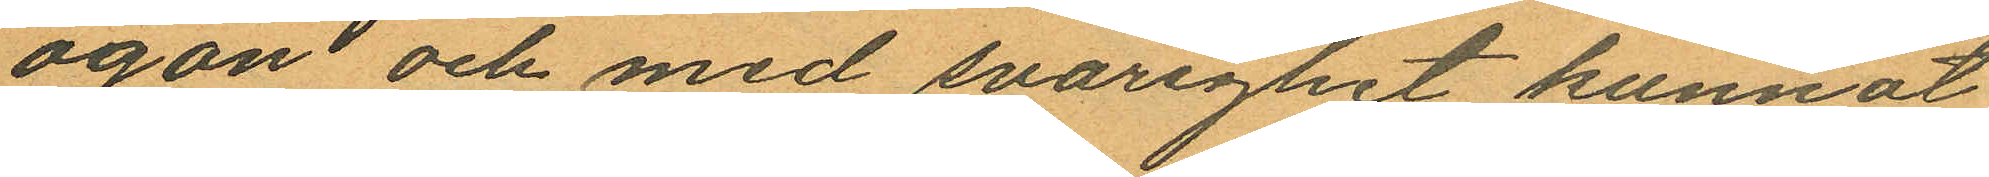ögon och med svårighet kunnat
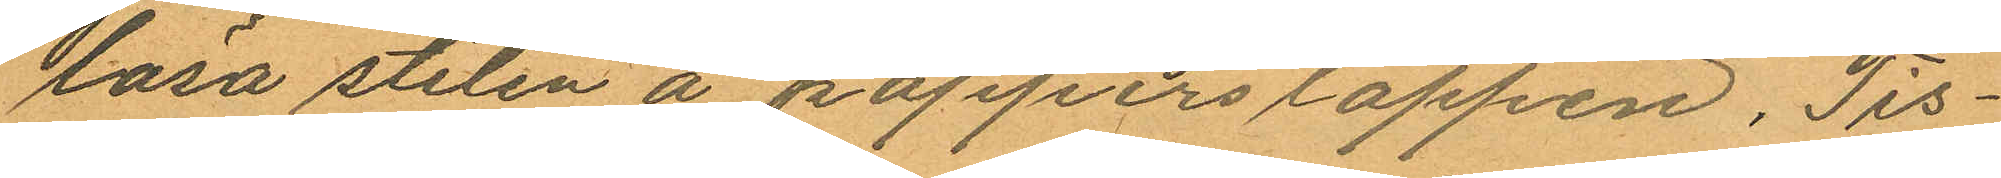lasa stilen å papperslappen, Tis¬
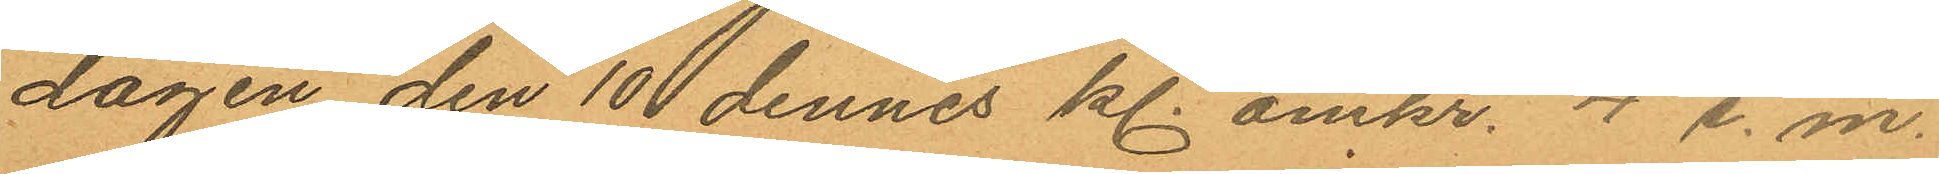dagen den 10 dennes kl. omkr. 4 e.m.
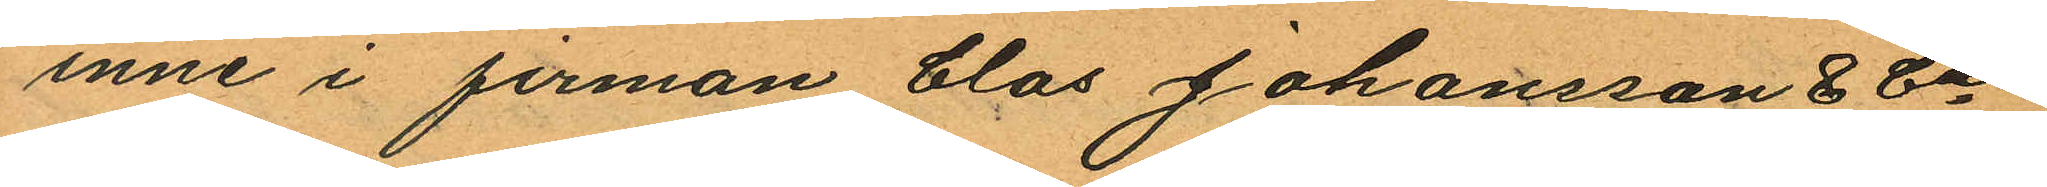inne i firman Clas Johansson & Cis
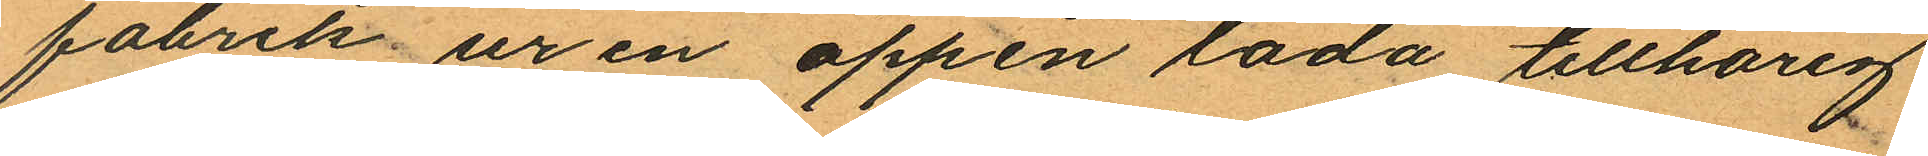fabrik ur en öppen låda tillhörig
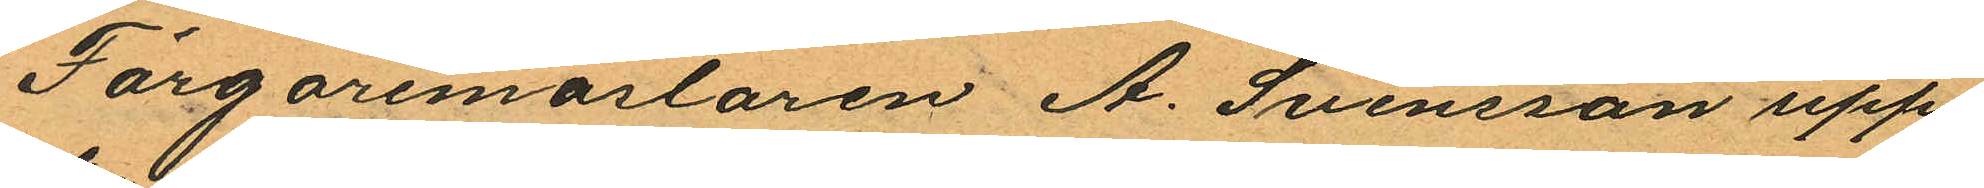Färgaremaslaren A. Svensson upp¬
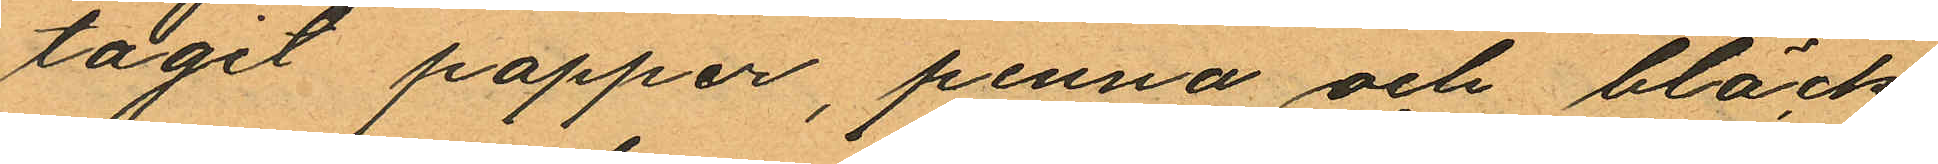tagit papper, penna och bläck,
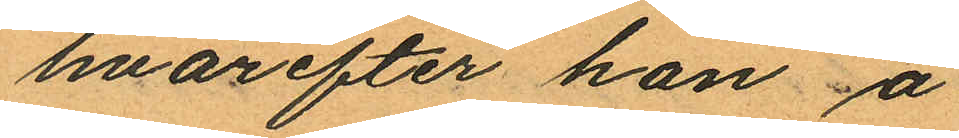hvarefter han å
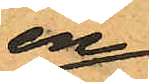en
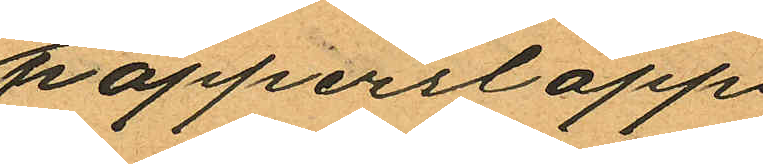papperslapp
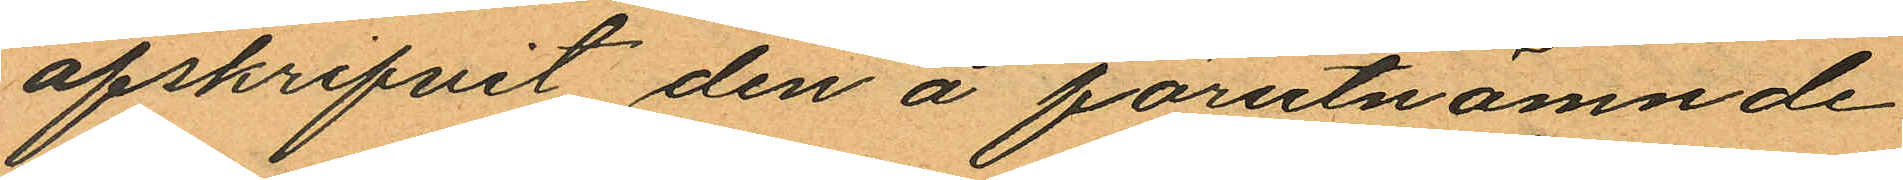afskrifvit den å förutnämnde
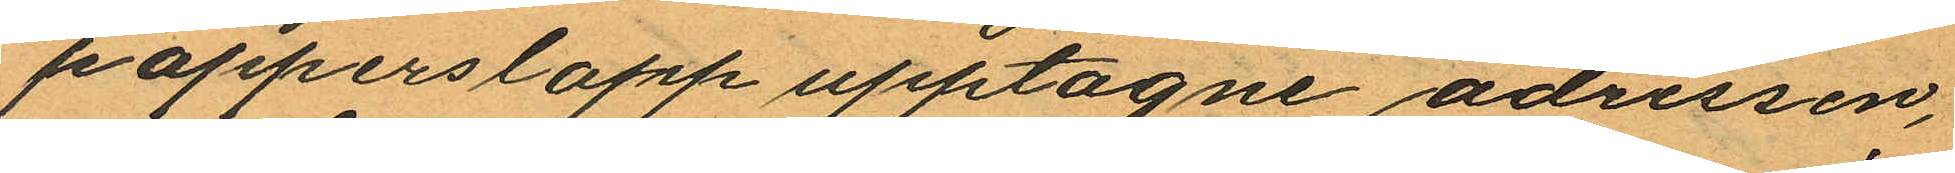papperslapp upptagne adressen,
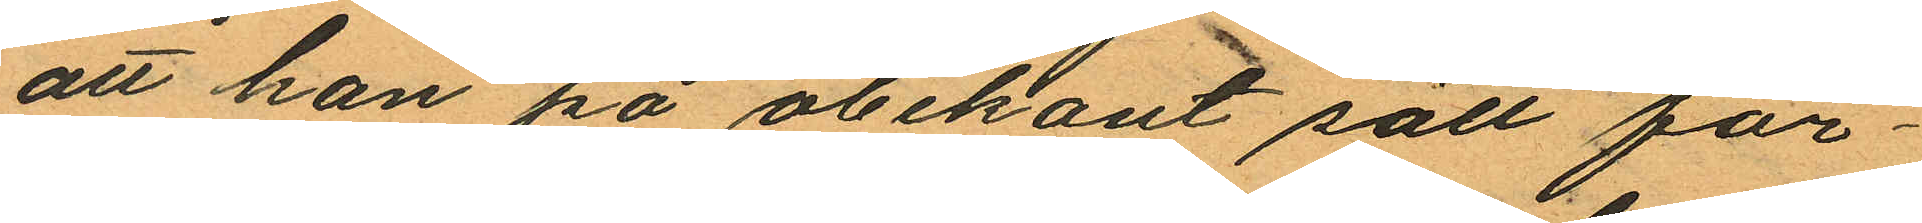att han på obekant sätt för¬
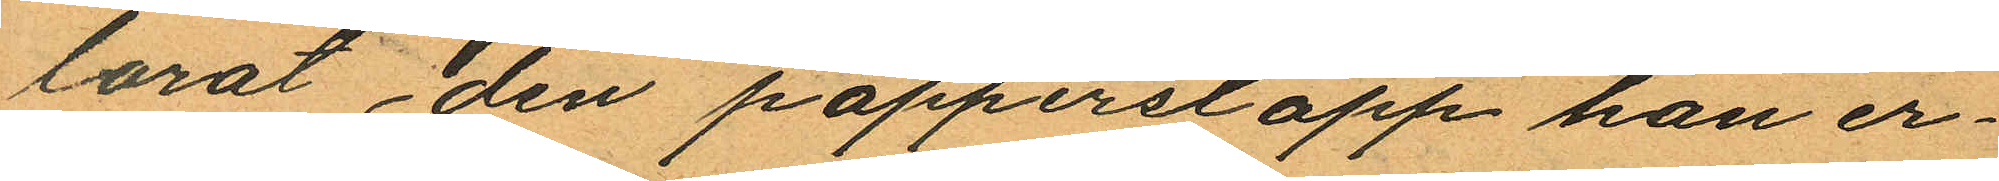lorat den papperslapp han er¬
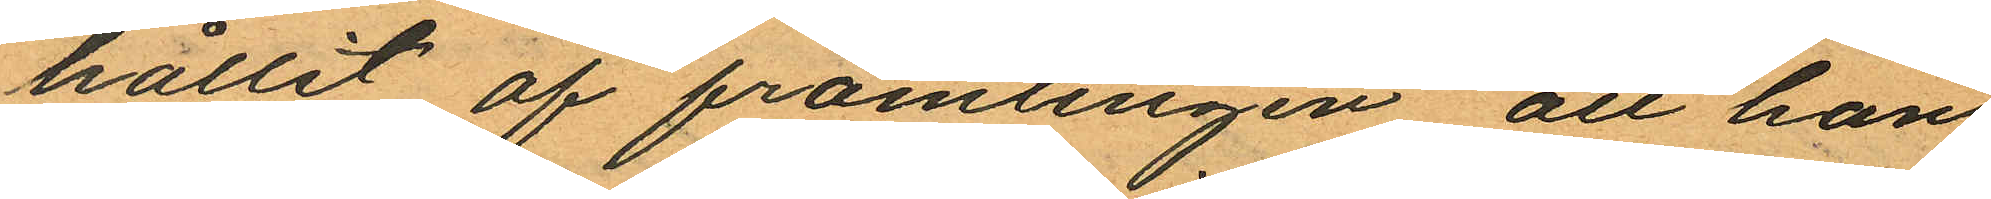hållit af främlingen att han
